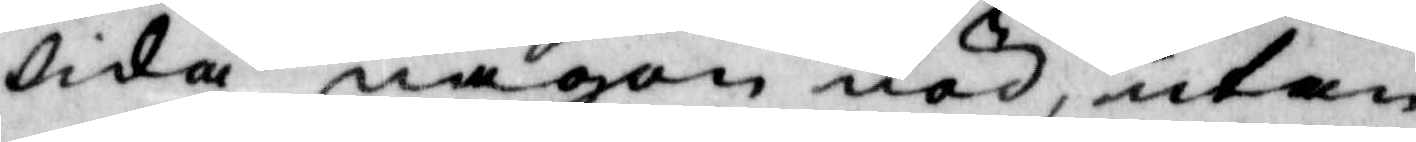lida någon nöd, utan
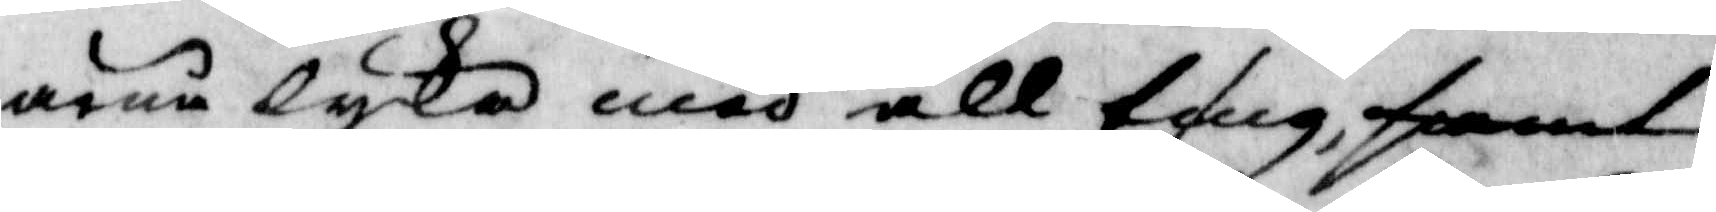ärna lycka med all ting, samt
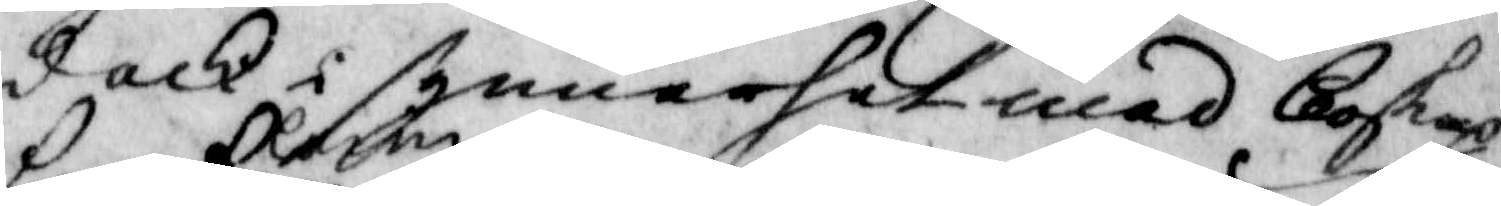dock i synnerhet med boskap
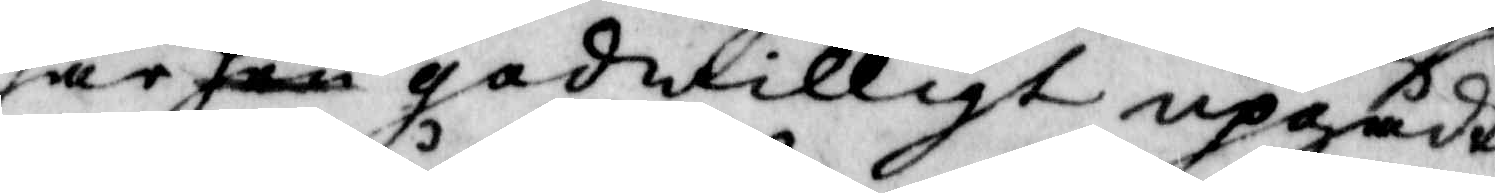har hon Carin godwilligt uppgådt
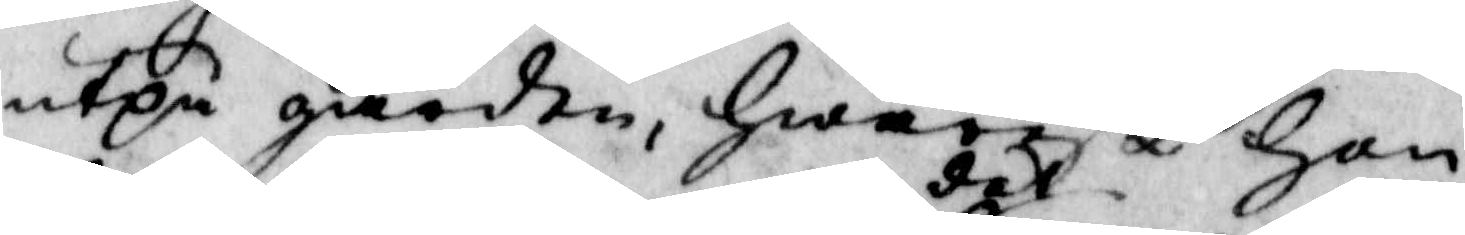utpå gården, hwarest hon
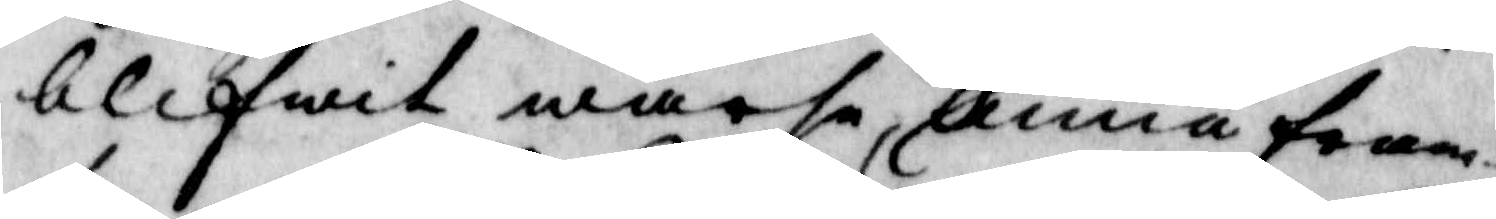blifwit warse det Anna fram¬
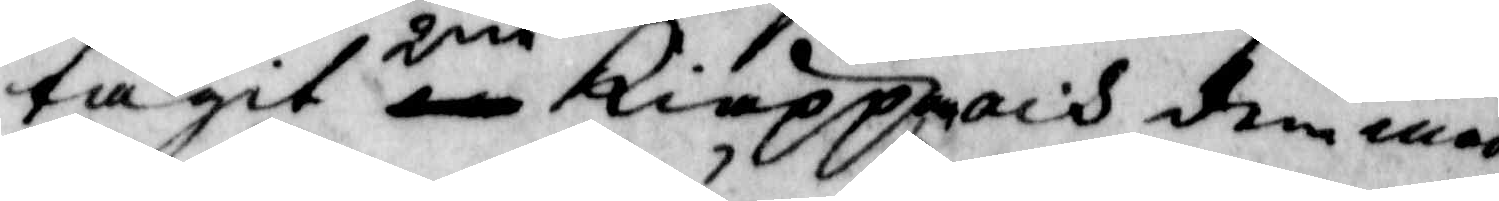tagit 2ne Kiäppar och dem med
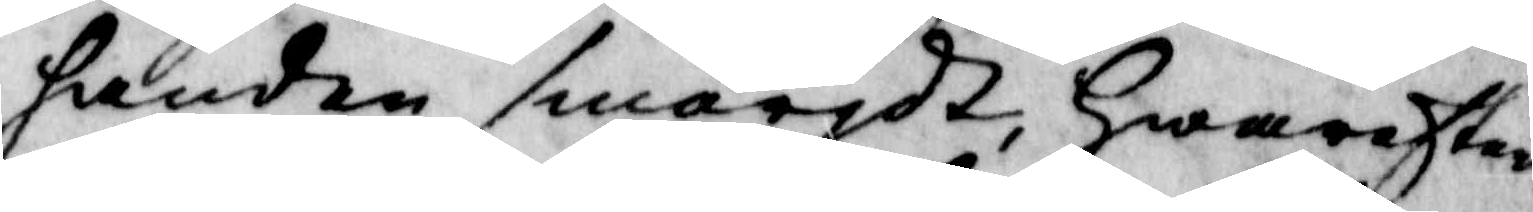handen smörjdt, hwarefter
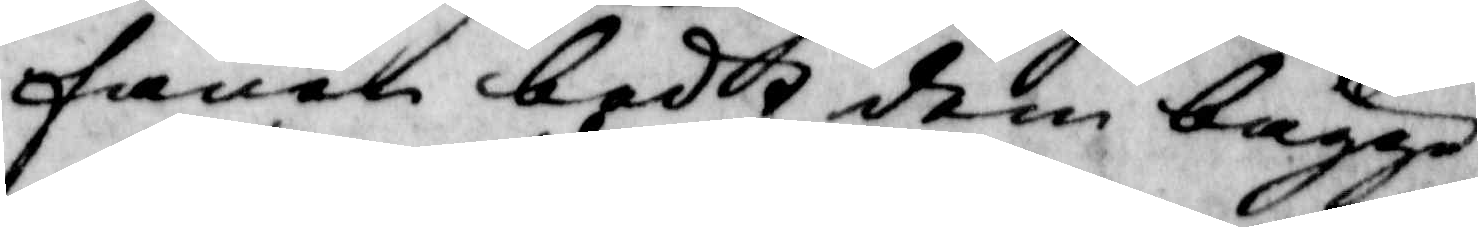fanen bedt dem bägge
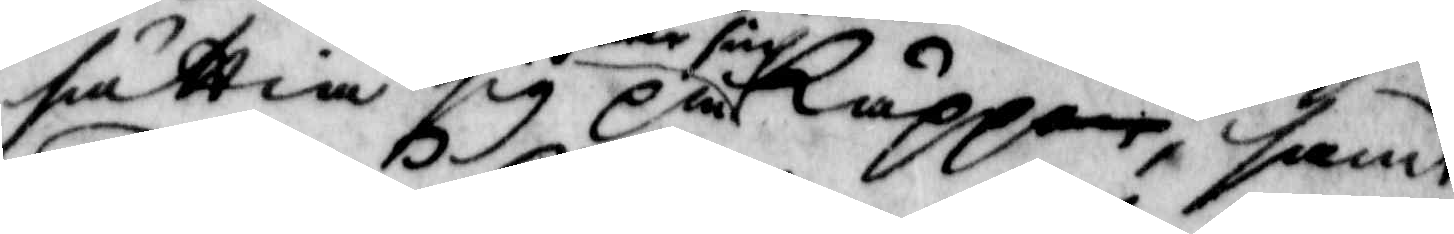sättia sig på hwar sin käppen, samt
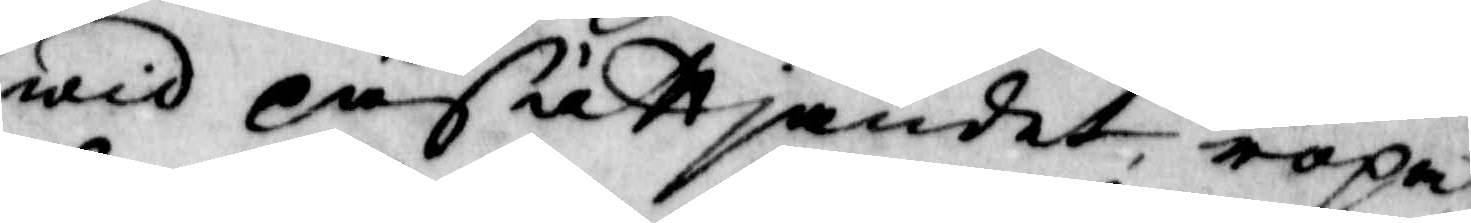wid påsättjandet, rpa
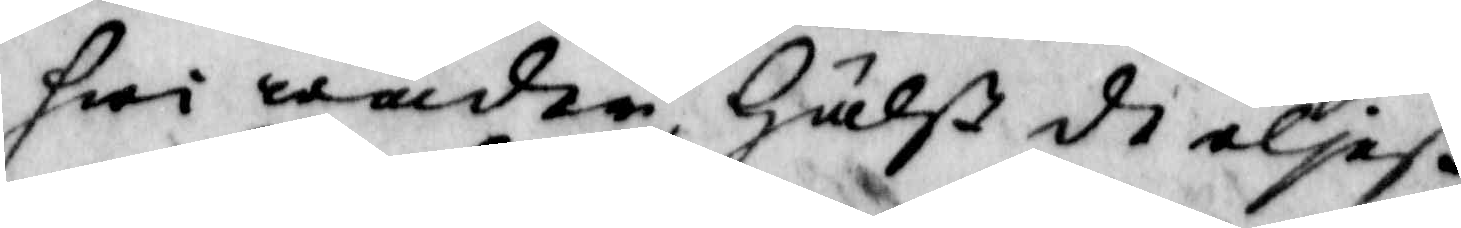hwi wäder, hälst de eljeß
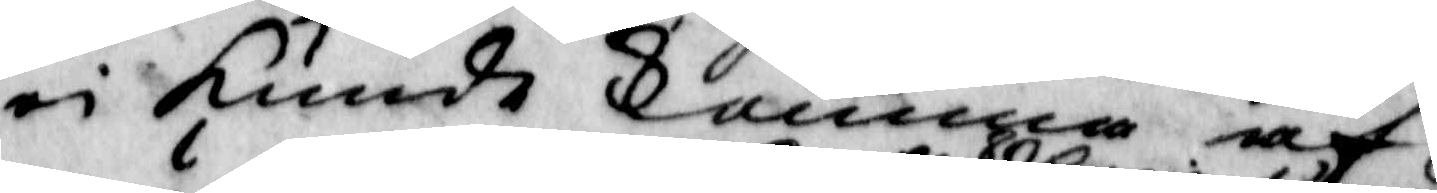ei kunde komma af
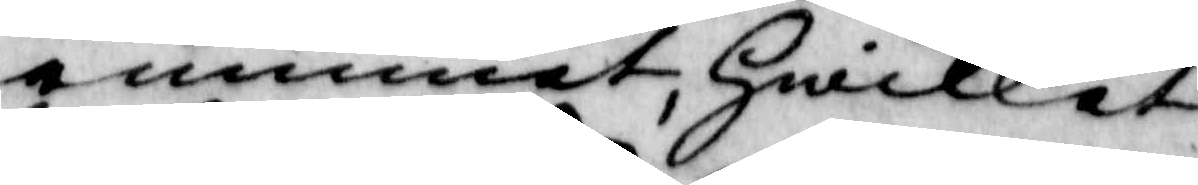rummet, hwilket
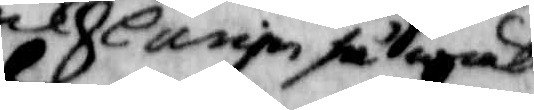och Carin så wäl
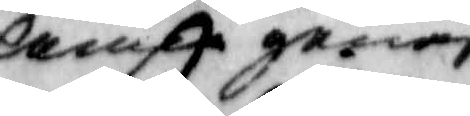Anna genast
